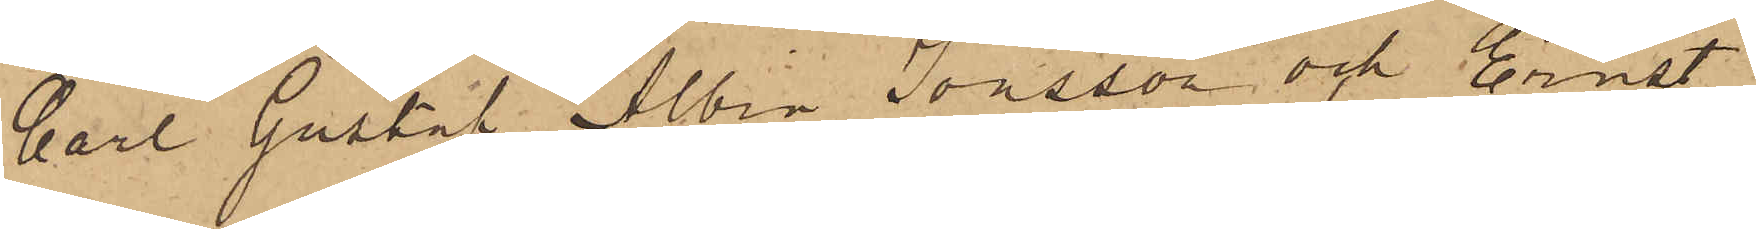Carl Gustaf Albin Jonsson och Ernst
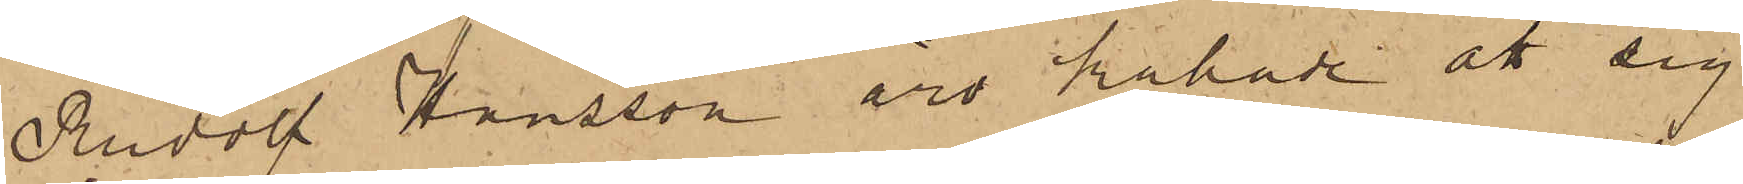Rudolf Hansson äro kallade att sig
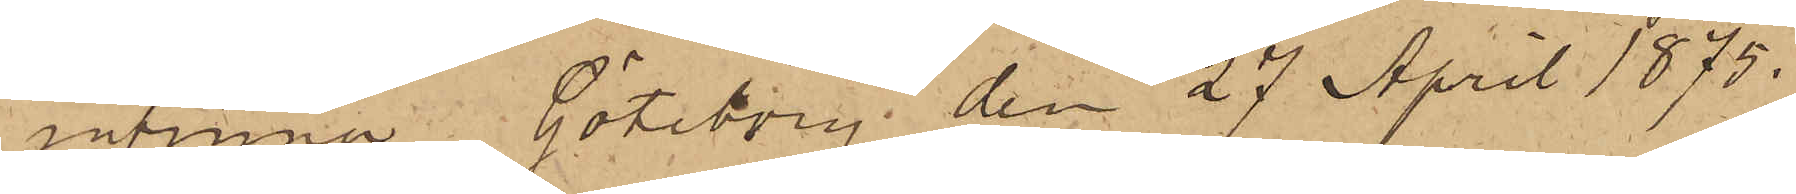infinna. Göteborg den 27 April 1875.
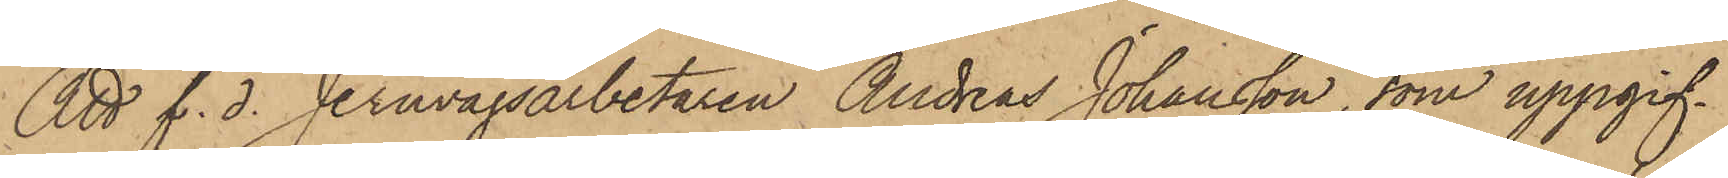Att f. d. Jernvägsarbetaren Andreas Johansson, som uppgif¬
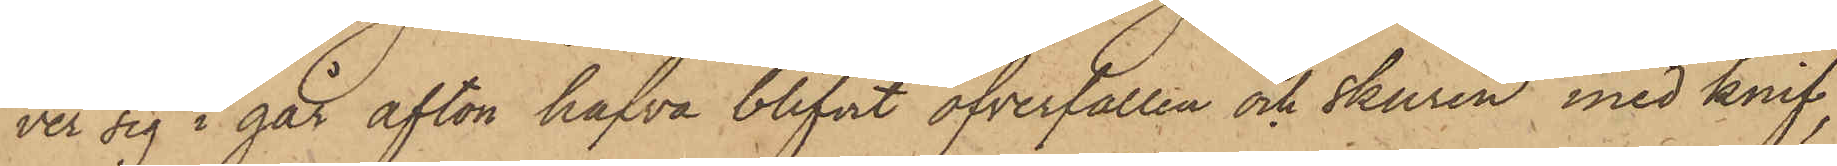ver sig i går afton hafva blifvit öfverfallen och skuren med knif,
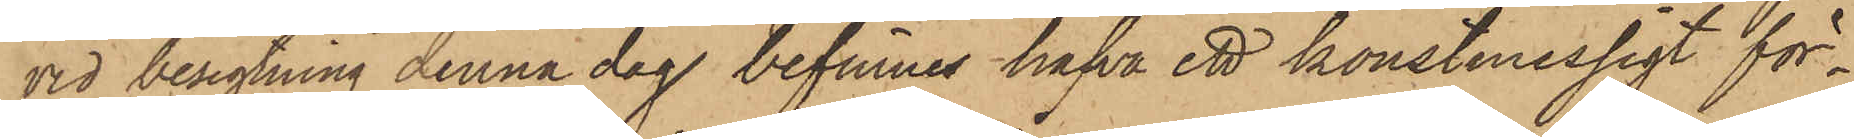vid besigtning denna dag befinnes hafva ett konstmessigt för¬
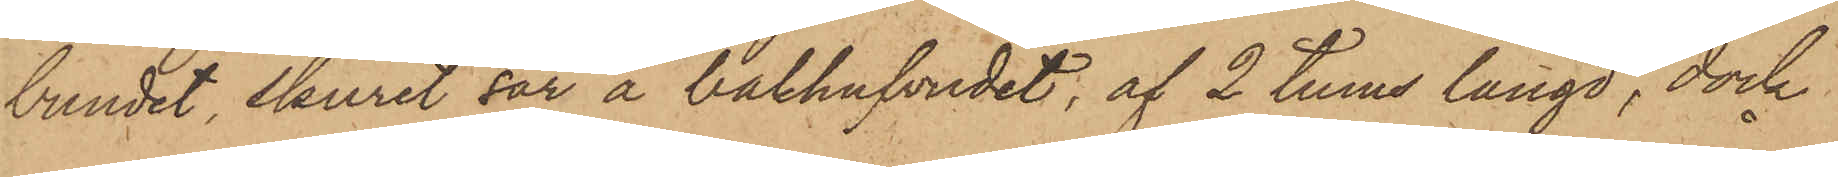bundet, skuret sår å bakhufvudet, af 2 tums längd, dock
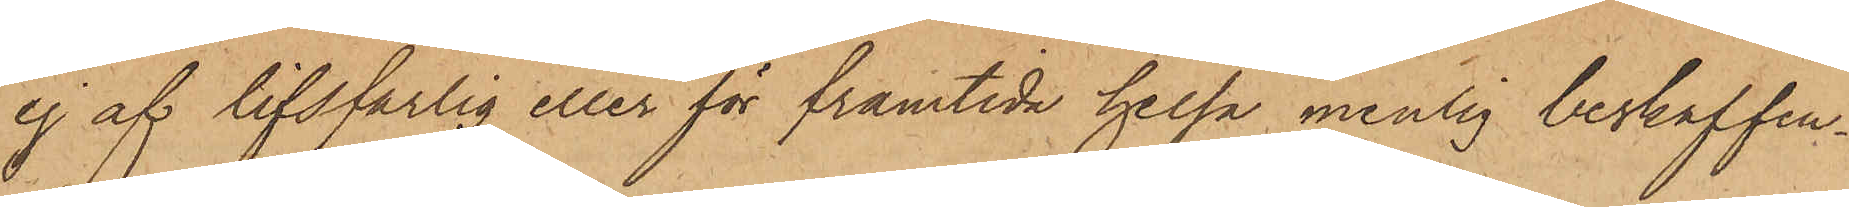ej af lifsfarlig eller för framtida helsa menlig beskaffen¬
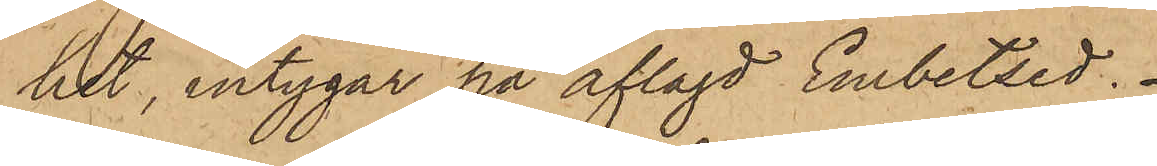het, intygar på aflagd Embetsed.
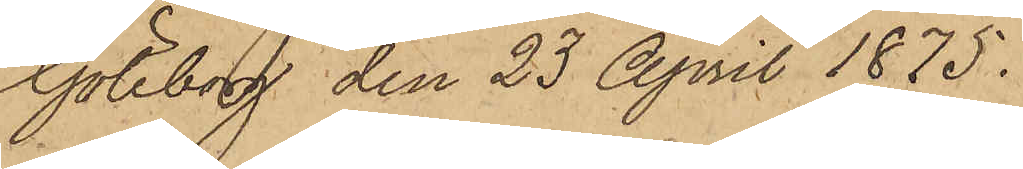Göteborg den 23 April 1875.
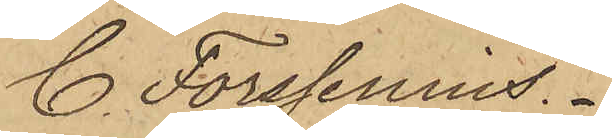C. Forssenius."
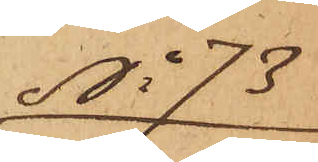No 73
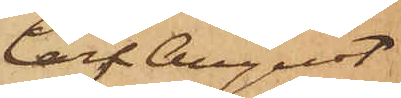Carl August
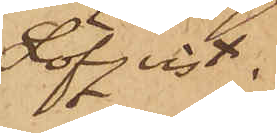Löfqvist.
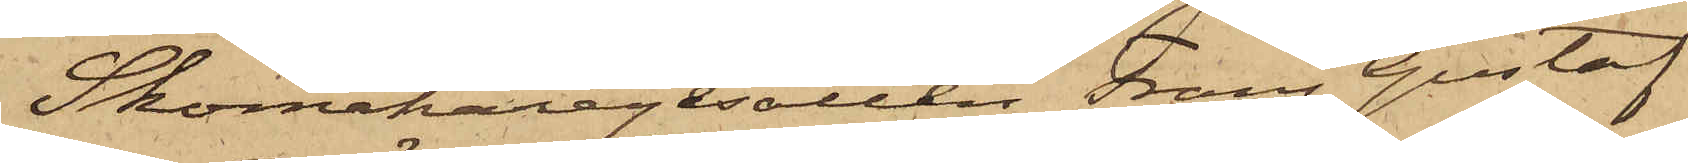Skomakaregesällen Frans Gustaf
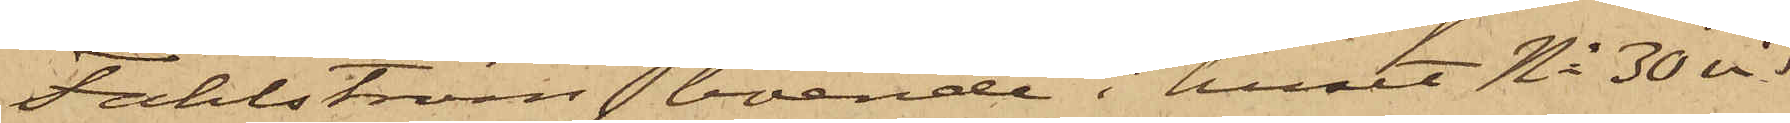Fahlström, boende i huset No 30 vid
